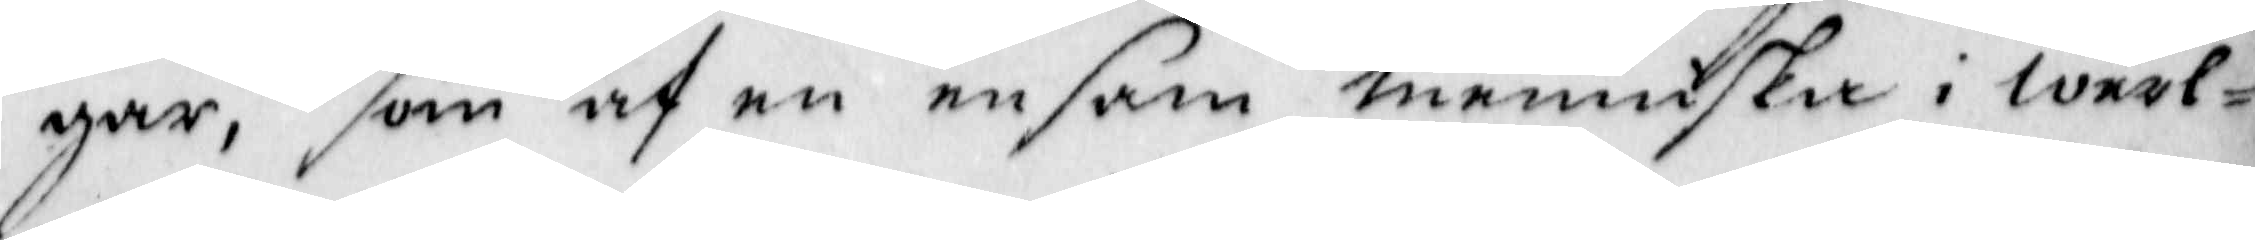gar, som af en ensam menniska i werl¬
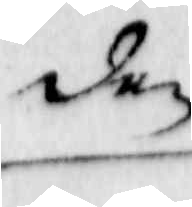den
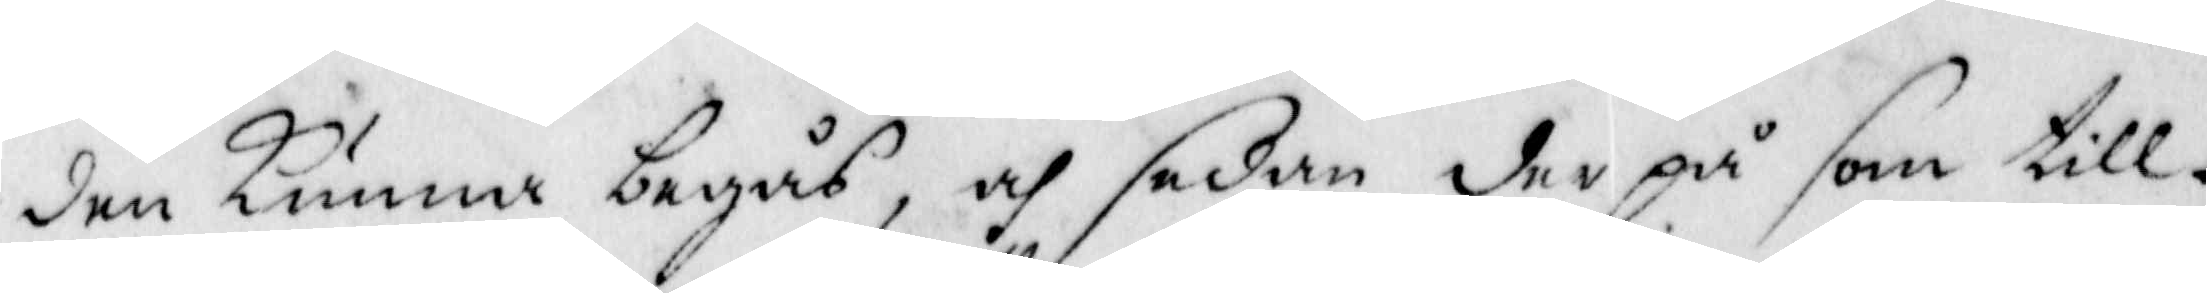den kunna begås, och sedan der på som till¬
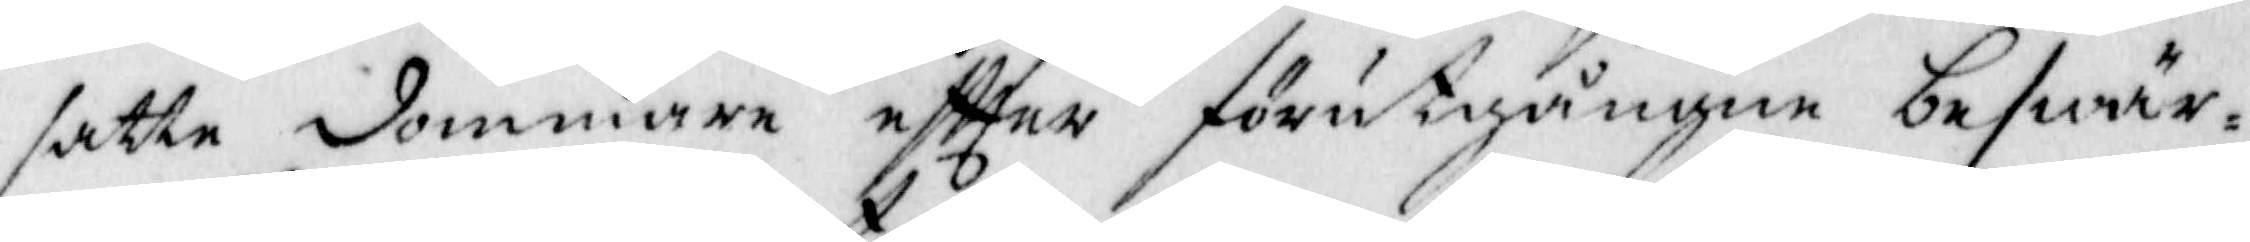satte dommare eftter förutgången beswär¬
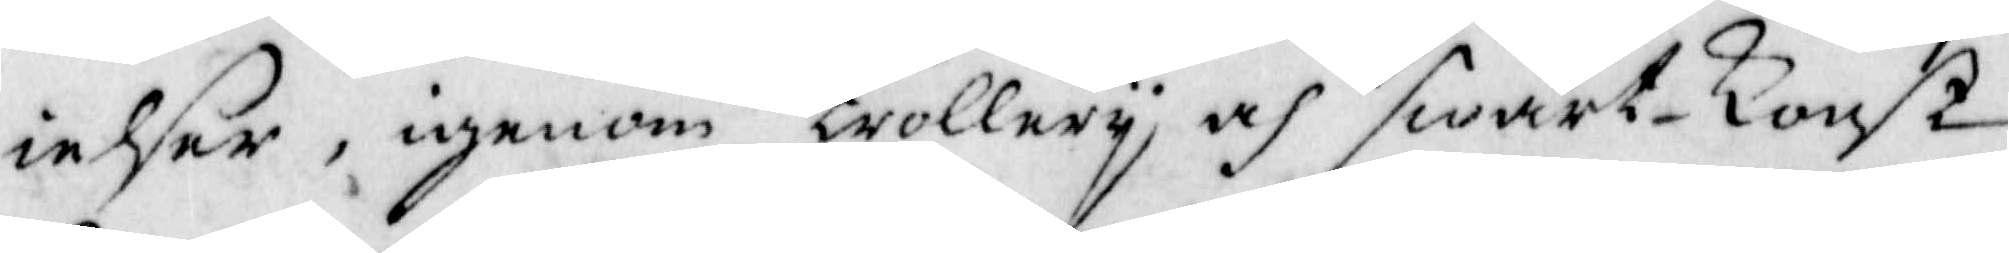ielser, igenom trollery och swart-Konst
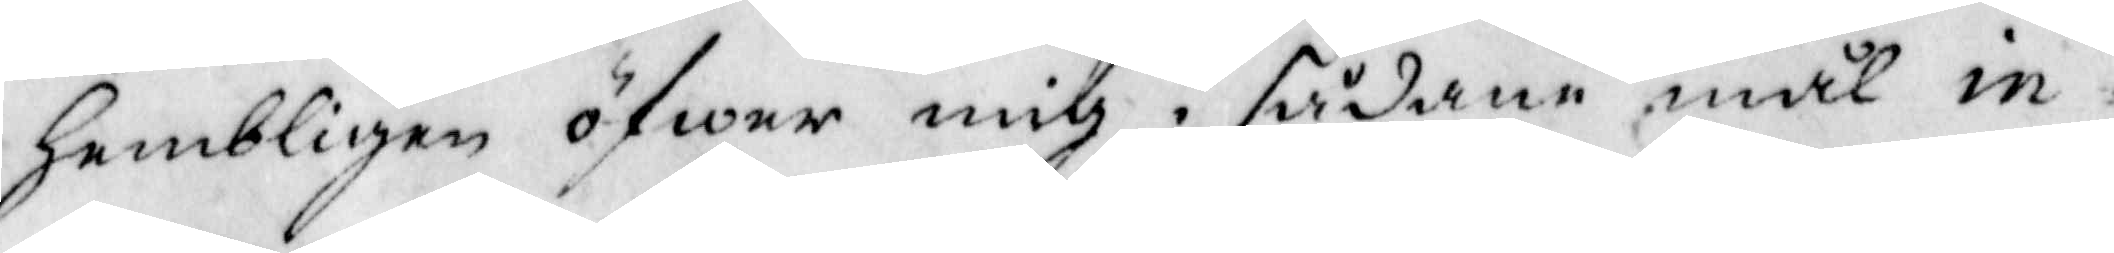Hembligen öfwer mig i sådane mål in¬
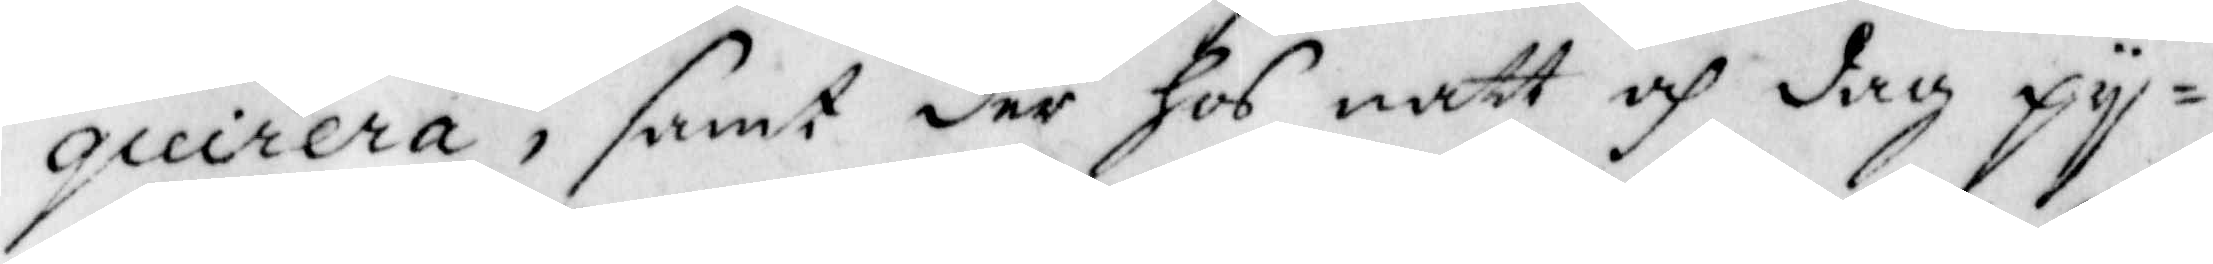quirera, samt der hos natt och dag py¬
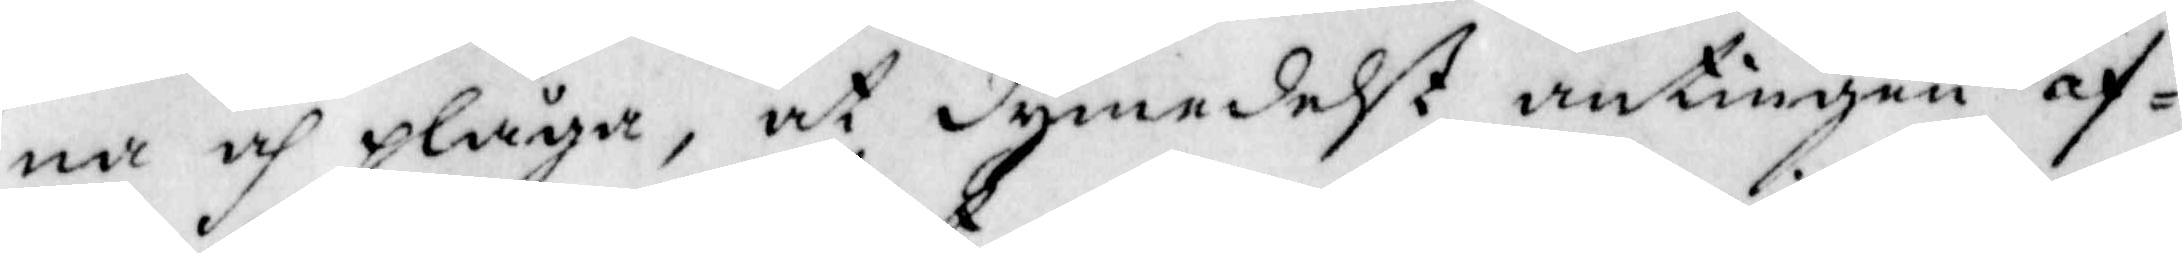na och plåga. at dymedelst antingen af¬
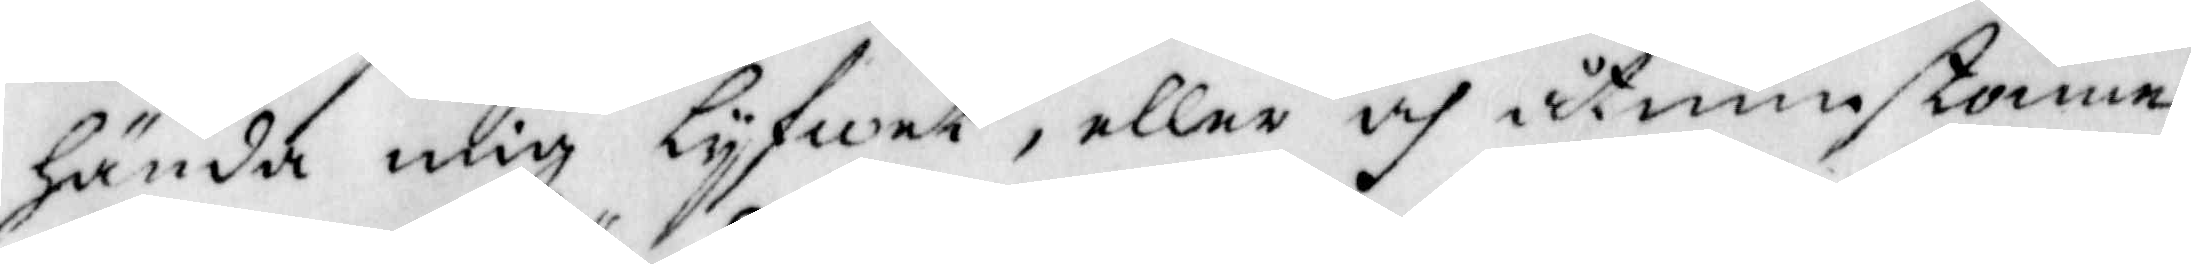Hända mig lyfwet, eller och åtminstonne
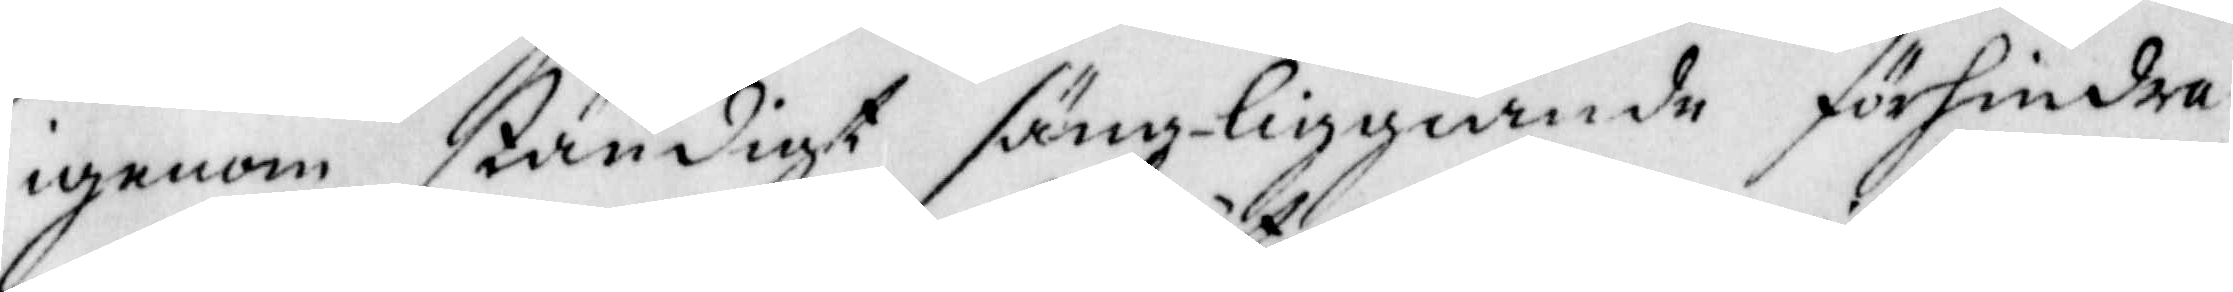igenom ständigt säng-liggiande förhindra
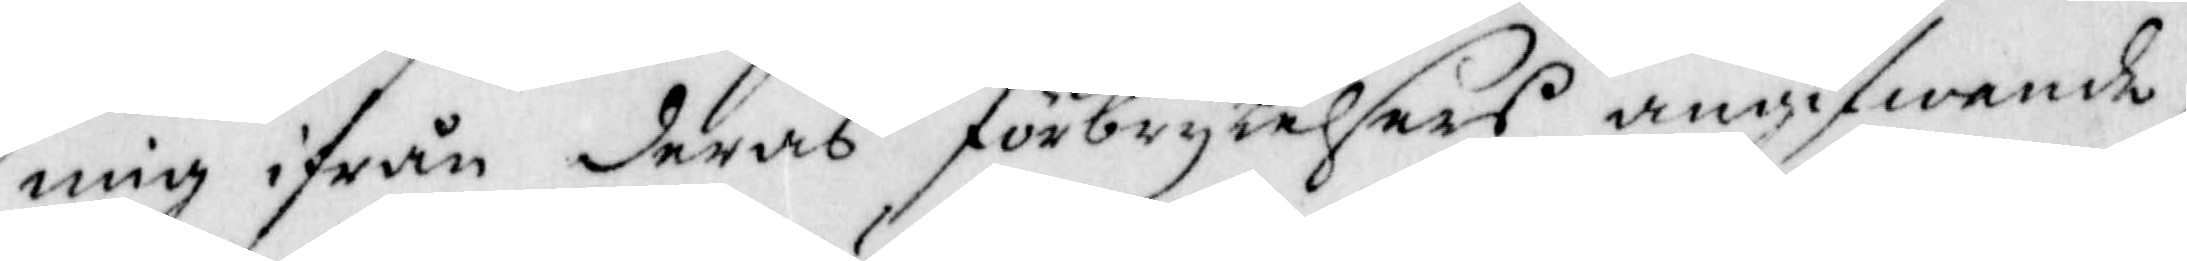mig ifrån deras förbrytelsers angifwande,
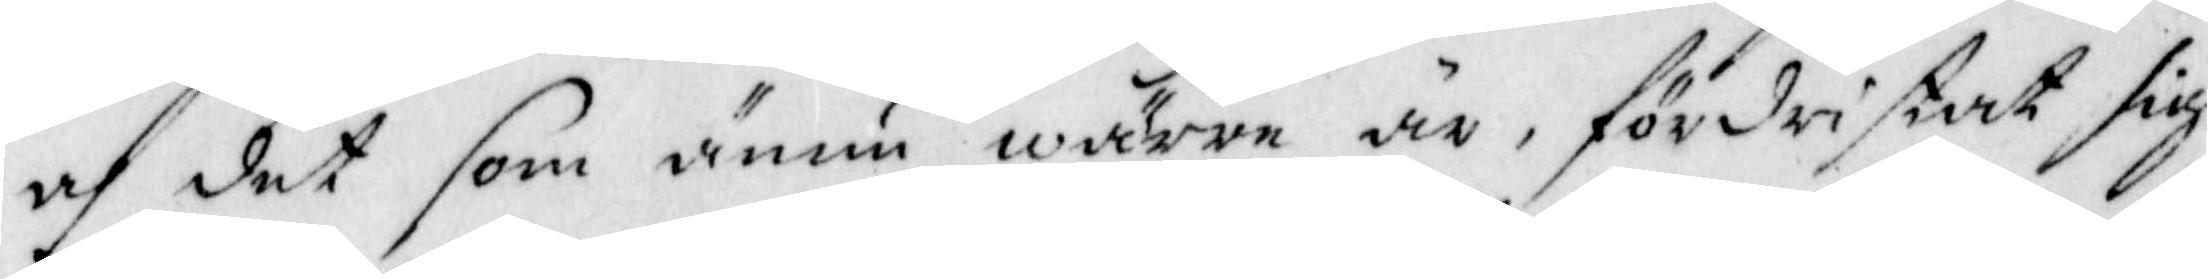och det som annu wärre är, fördristat dig
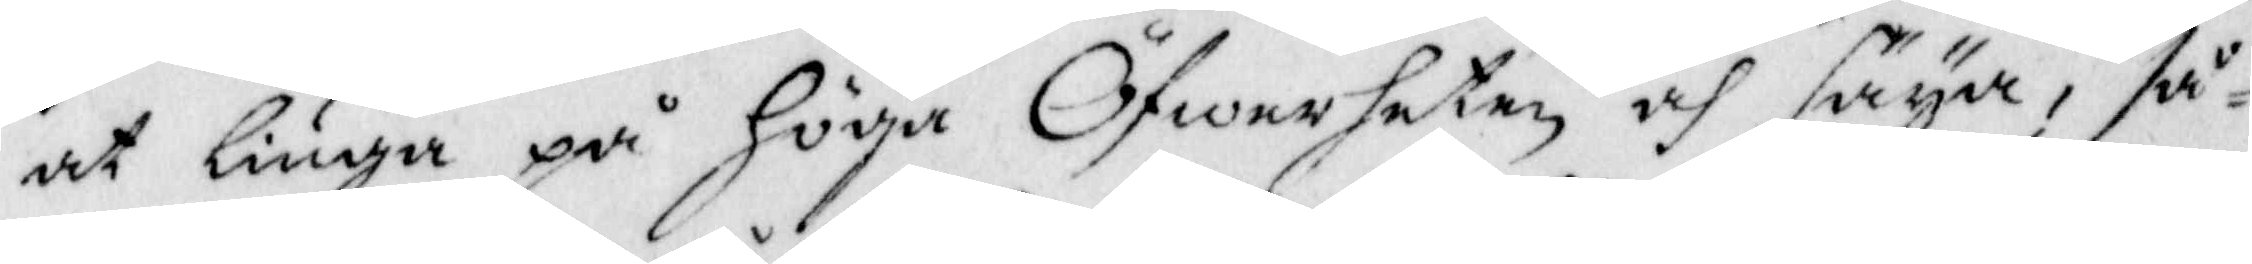att liuga på Höga Öfwerheten och säya, så¬
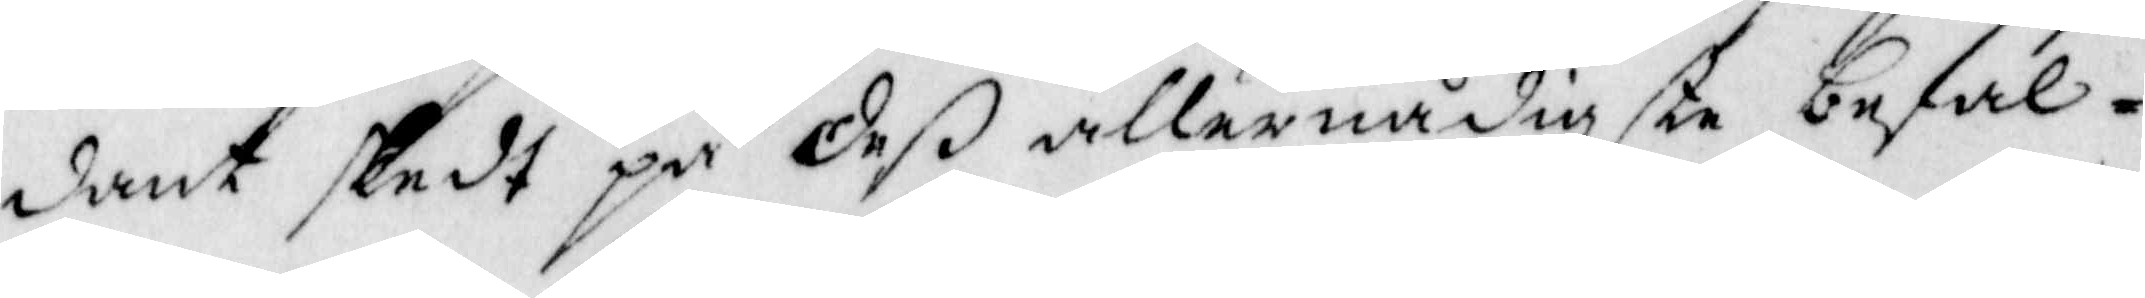dant skedt på deß allernådigste befal¬
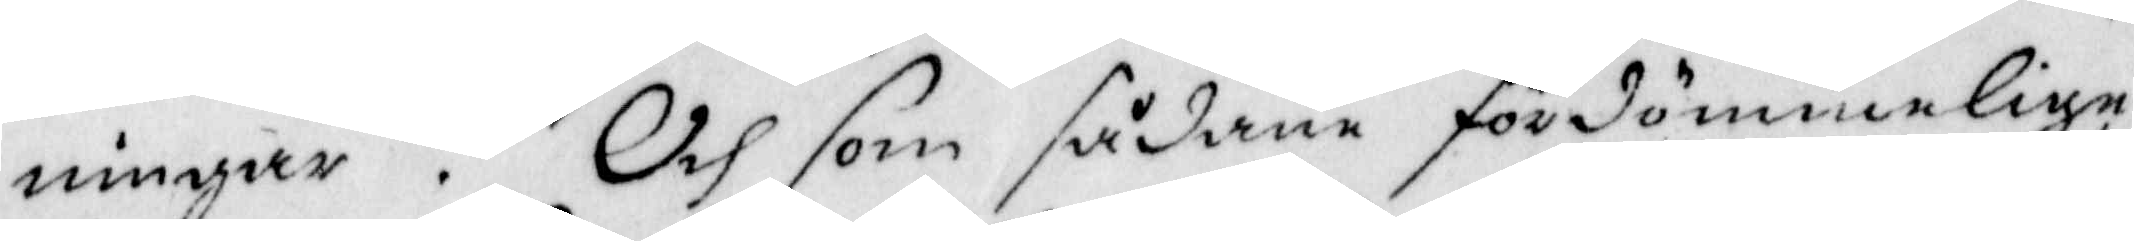ningar. Och sådane fördömmelige
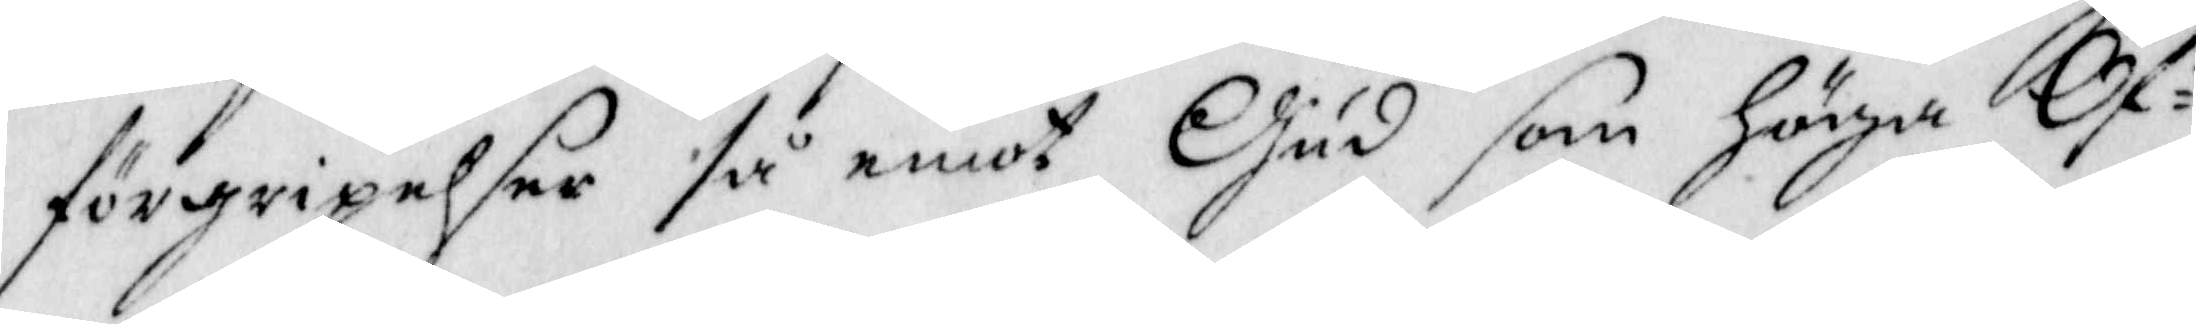förgripelser så emot Gud som Höha Öf¬
